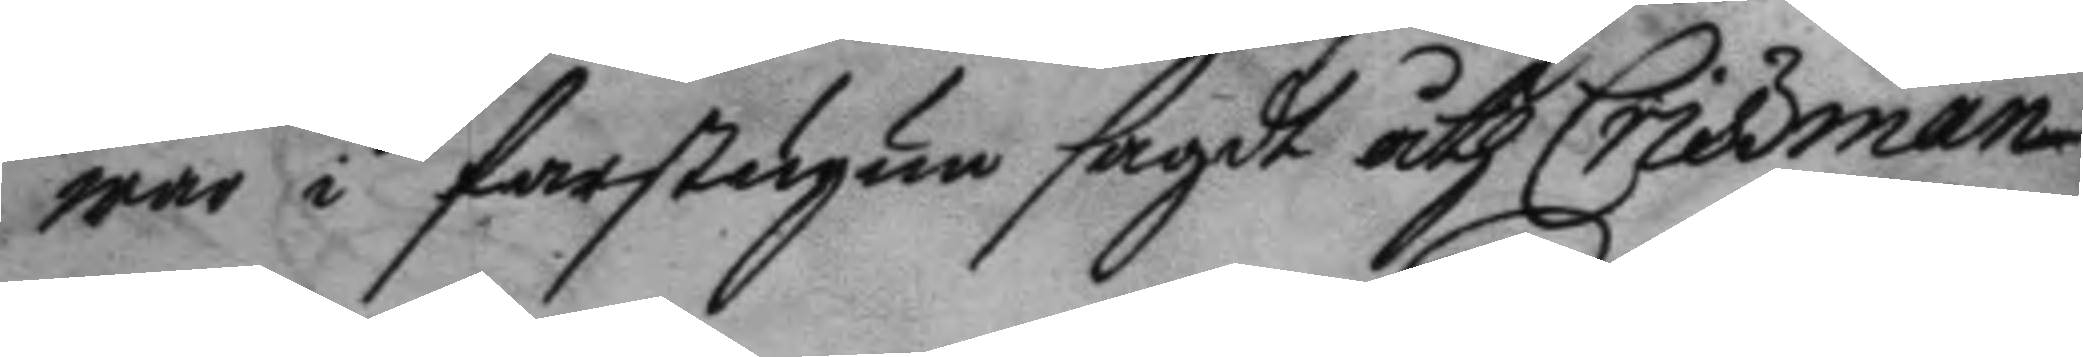war i farstugun sagdt åth Criszman
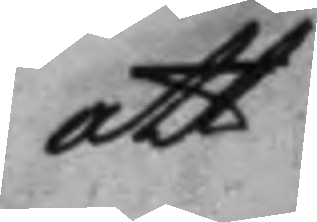att
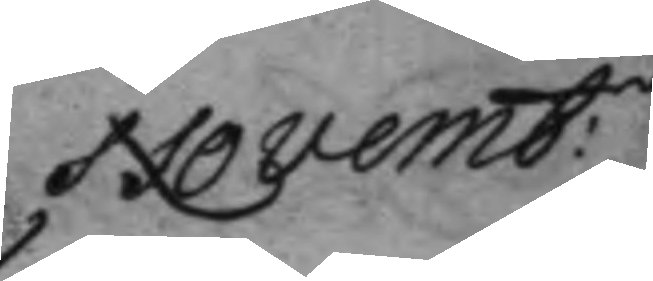Novemb:
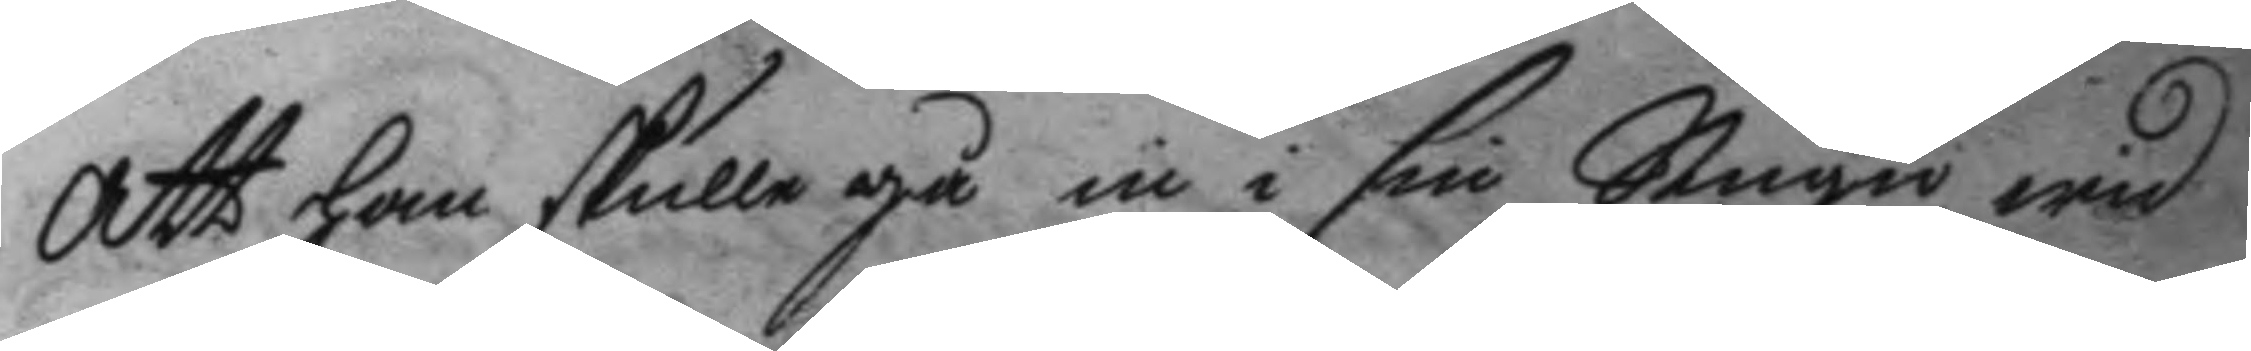att han skulle gå in i sin Stugu, wid
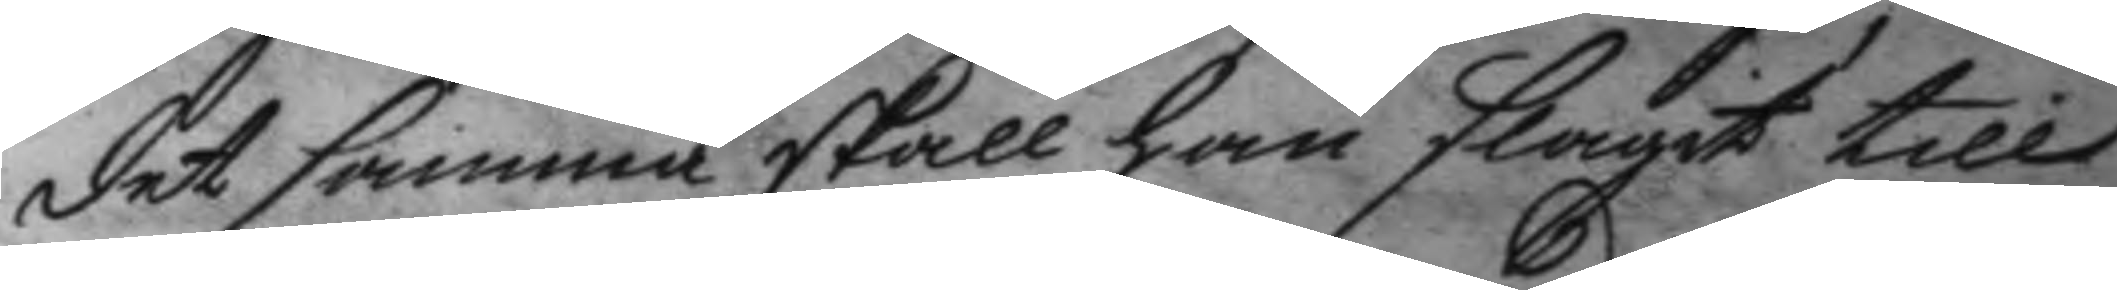det samma skall han slagit till
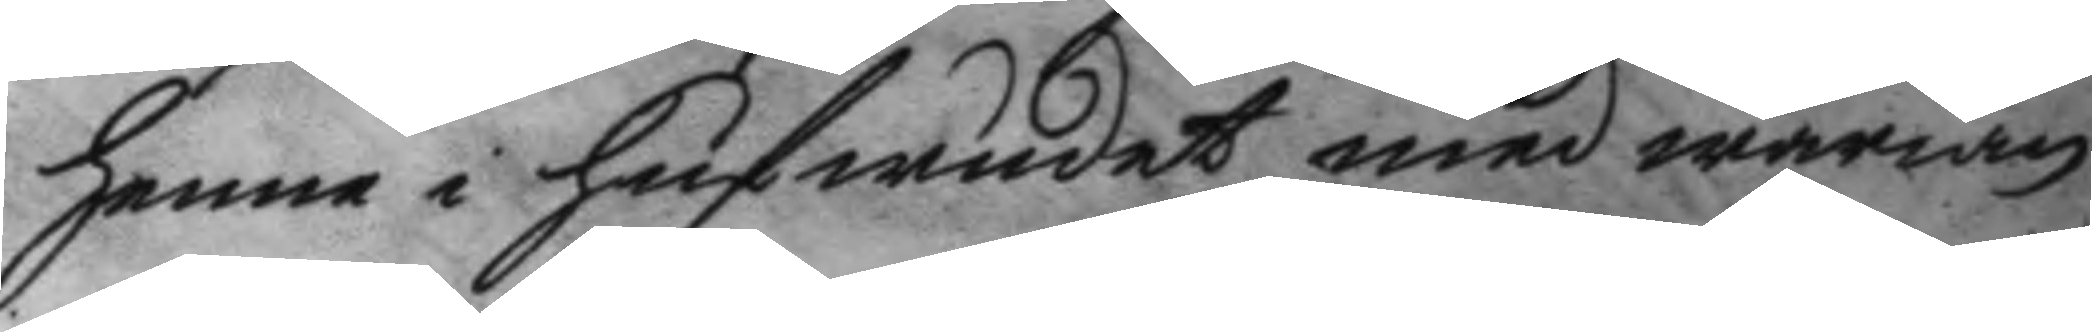henne i hufwudet med wärian,
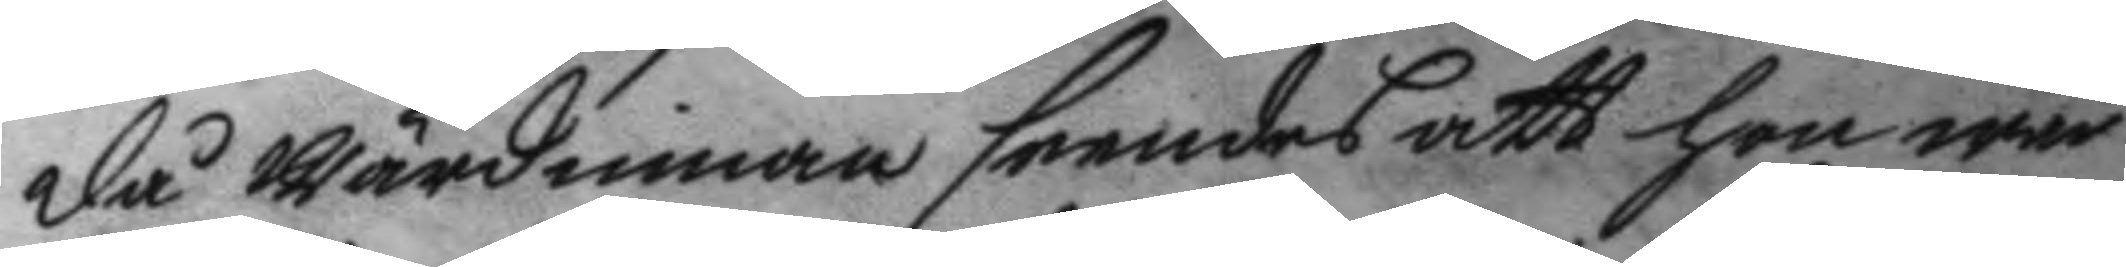då wärdinnan seendes att hon war
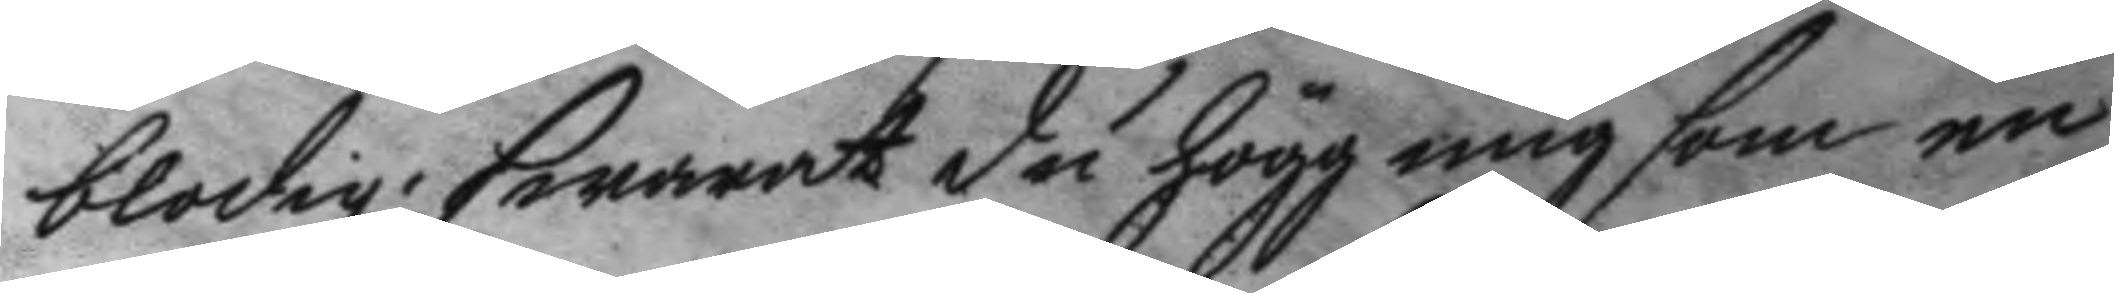blodig; swarat du högg mig som en
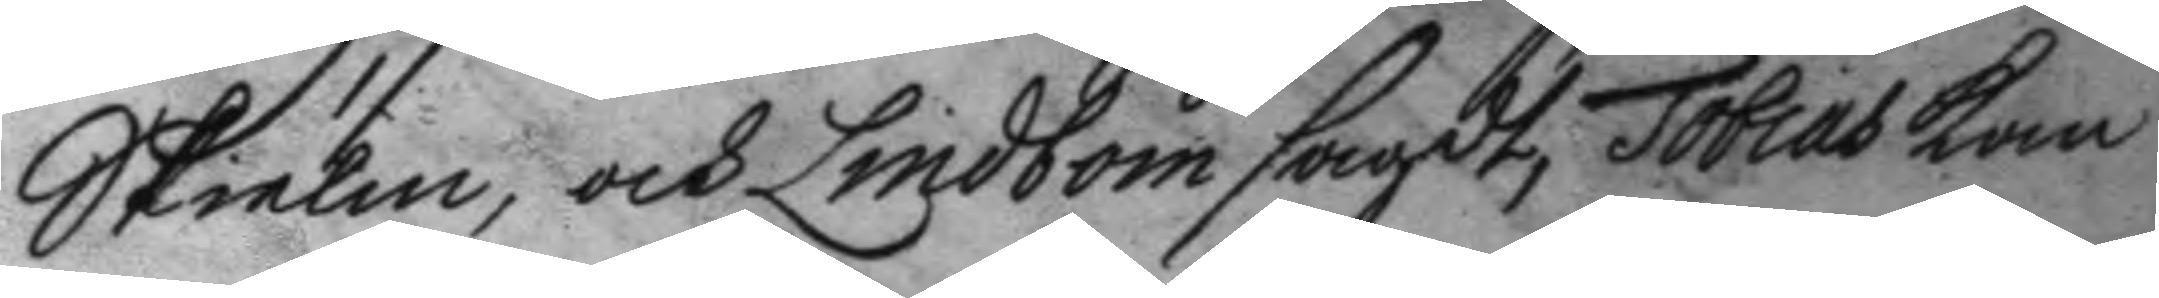Skielm, och Lindbom sagdt, Tobias kan
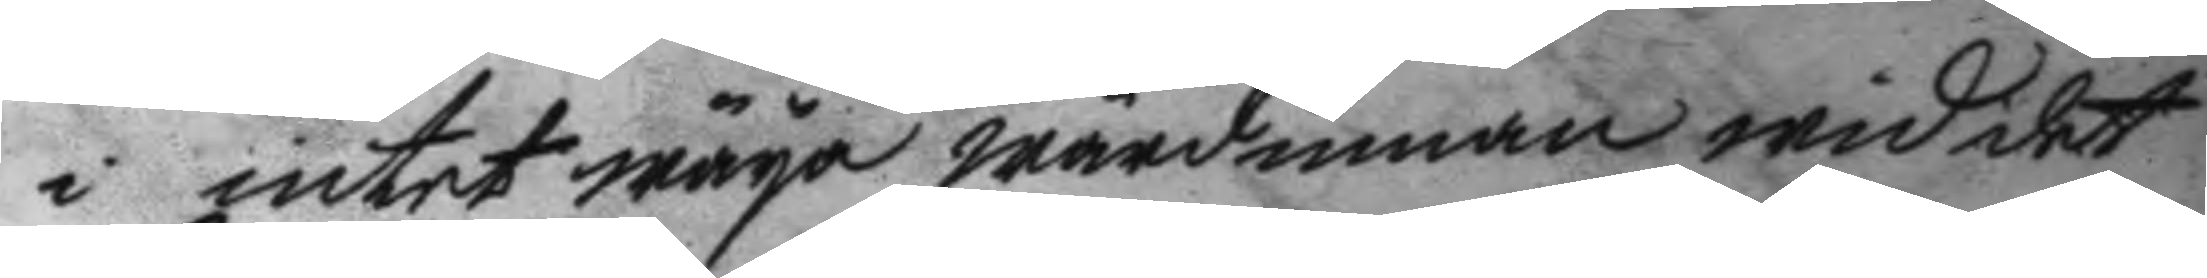i intet wäya wärdinnan wid et
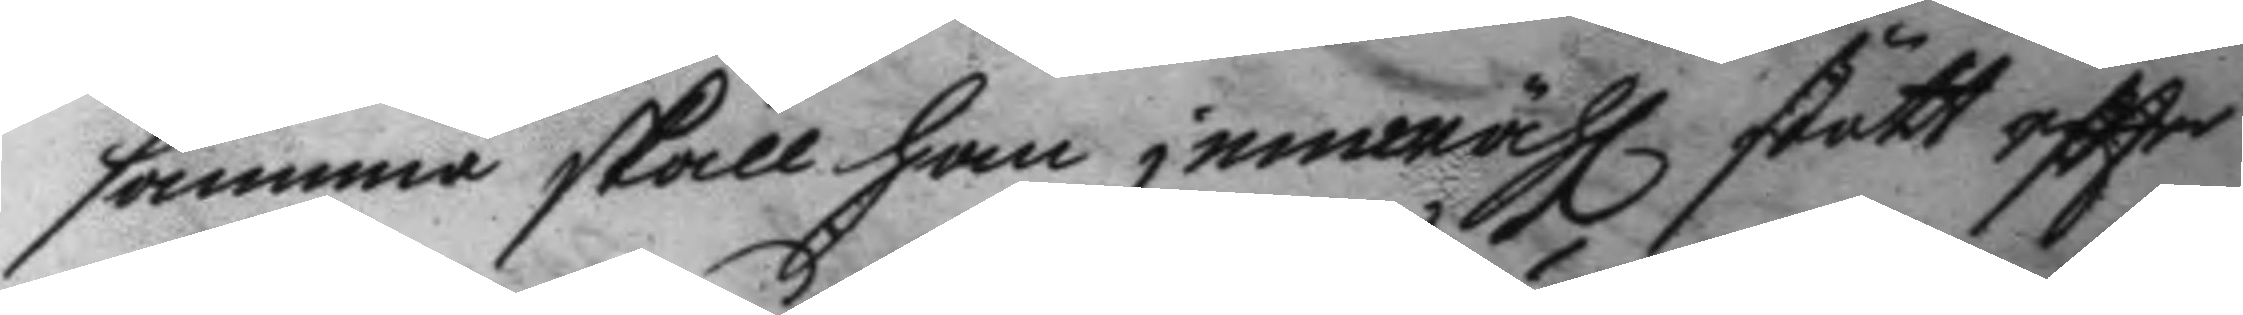samma skall han jemwähl stött eftter
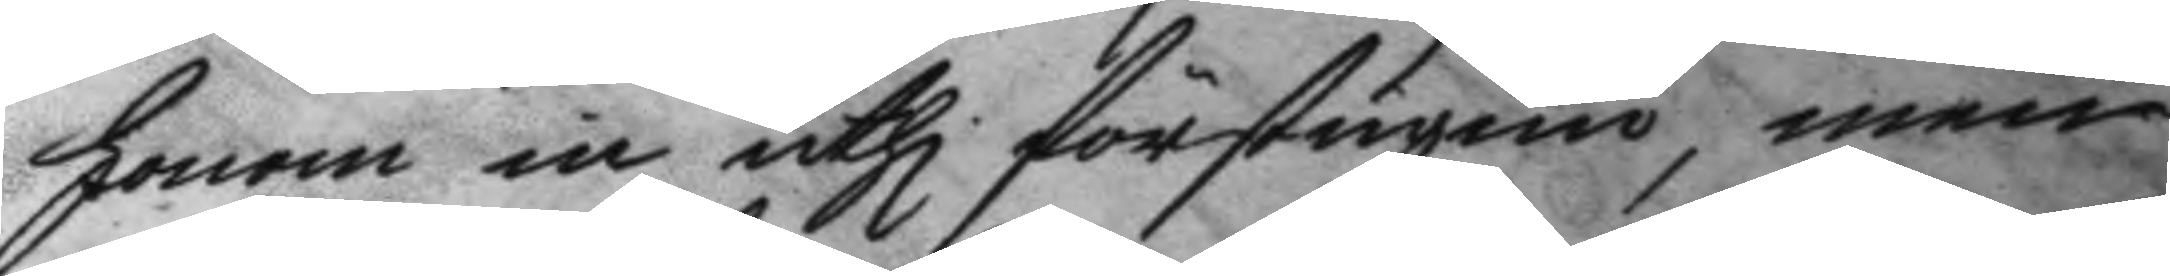honom in uthi förstugun, men
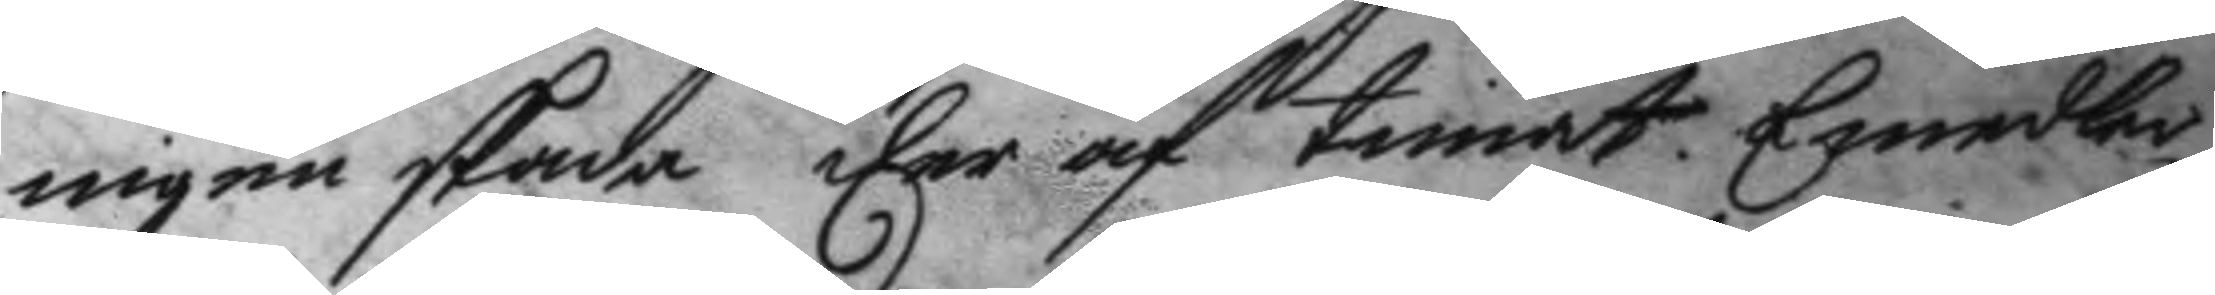ingen skada der af timat.Emedler¬
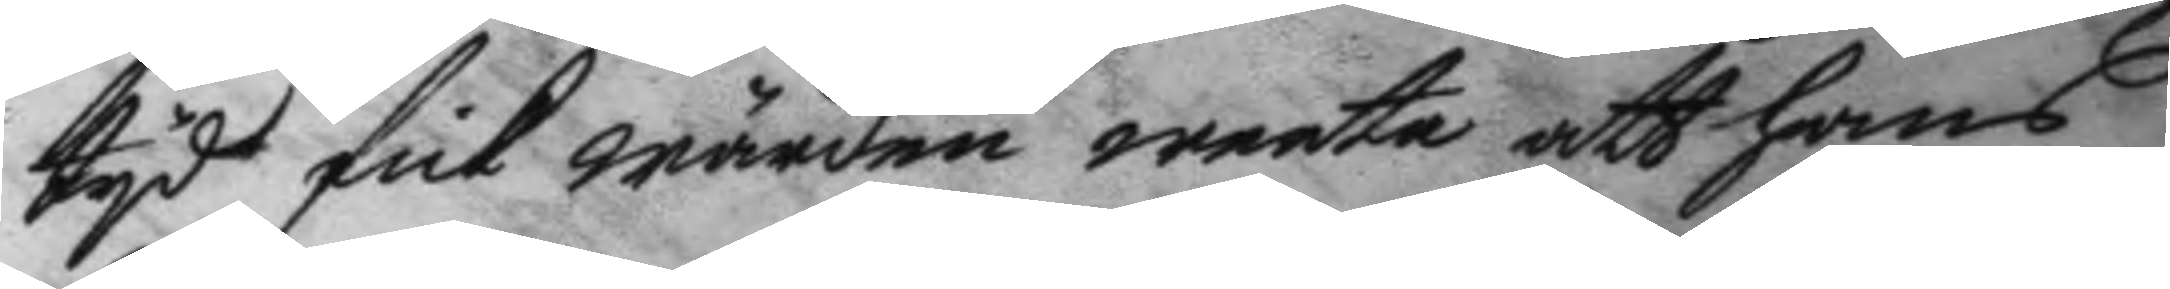tyd fick wärden weeta att hans
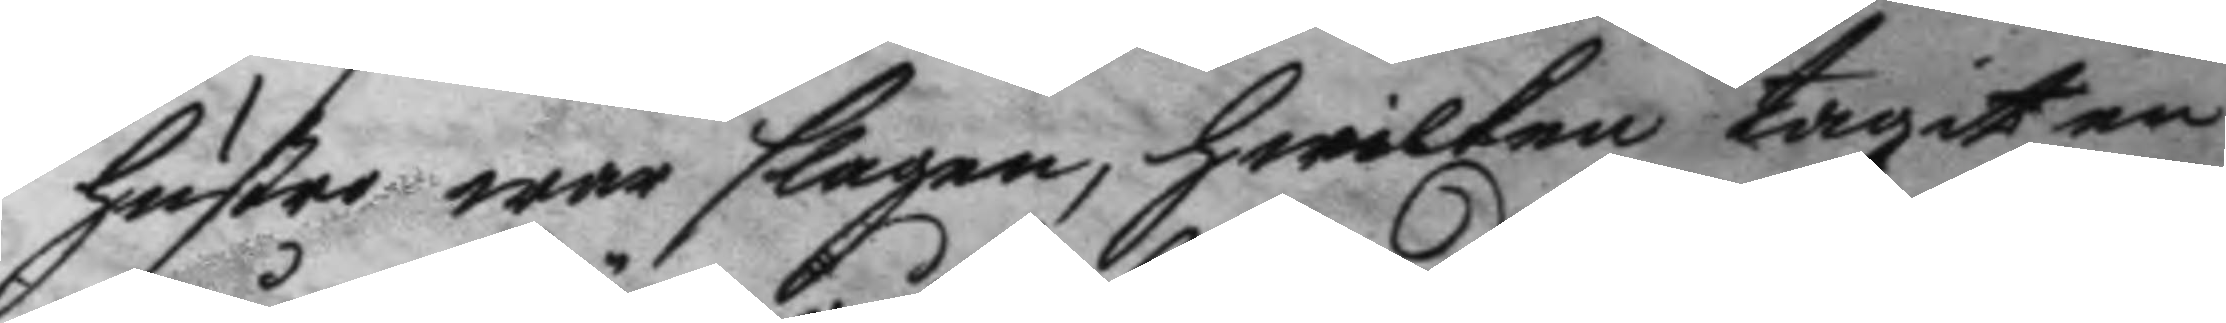hustru war slagen, hwilken tagit en
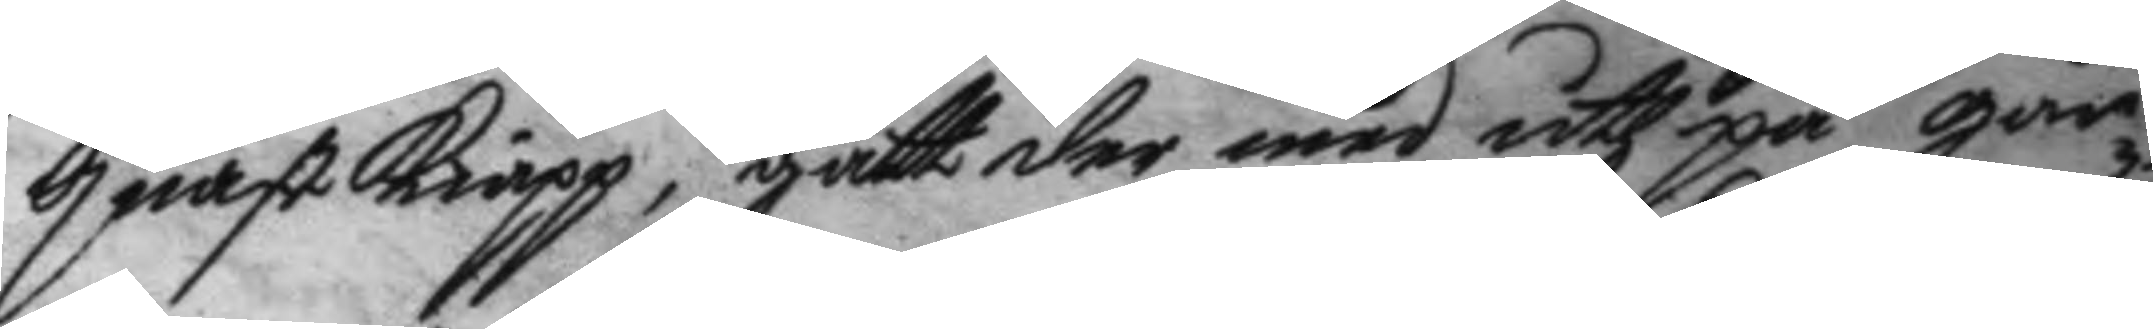quastkiäpp, gått der med uth på går¬
